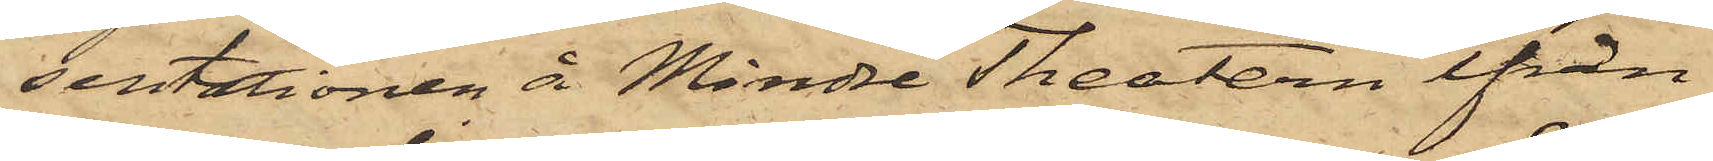sentationen å Mindre Theatern ifrån
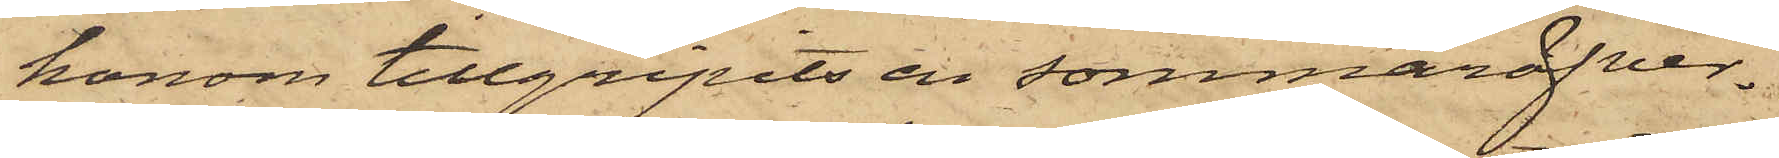honom tillgripits en sommaröfver¬
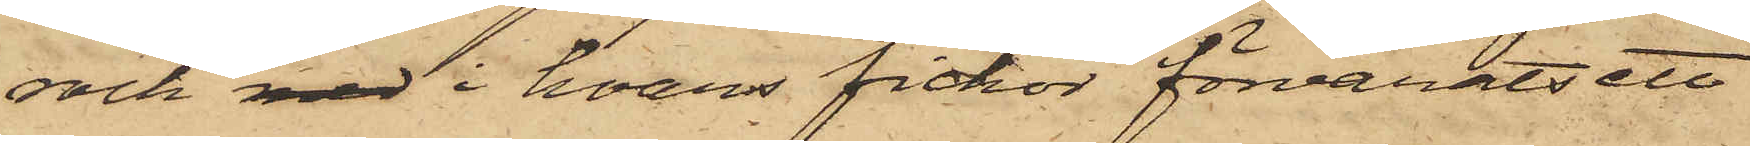rock med i hvars fickor förvarats ett
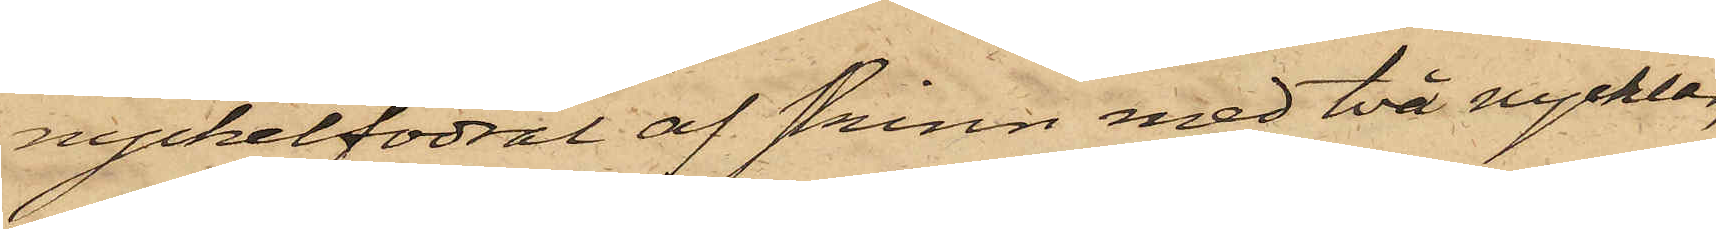nyckelfodral af skinn med två nycklar,
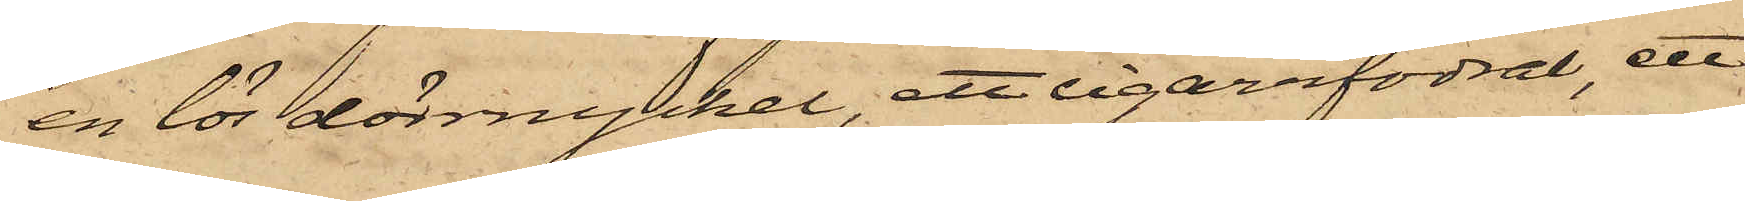en lös dörrnyckel, ett cigarrfodral, ett
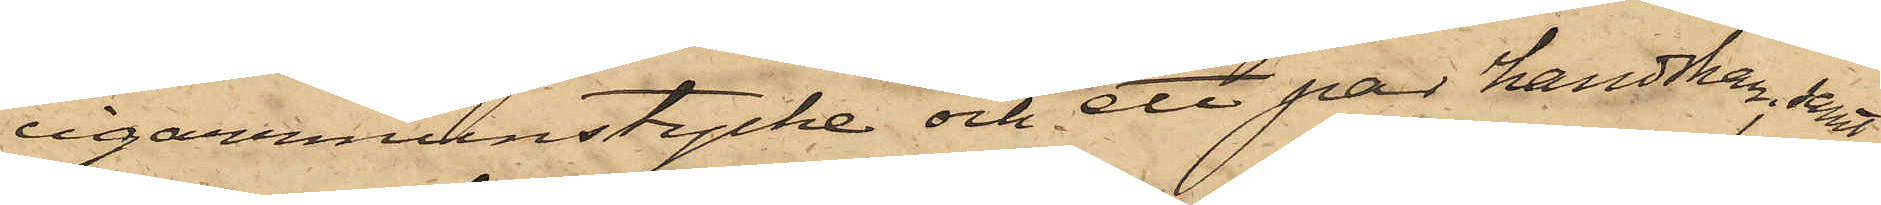cigarrmunstycke och ett par handskar; samt
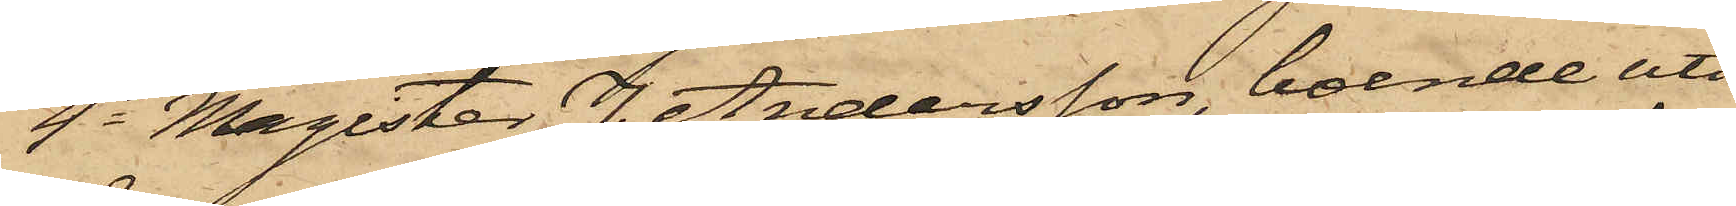4o Magister J. Andersson, boende uti
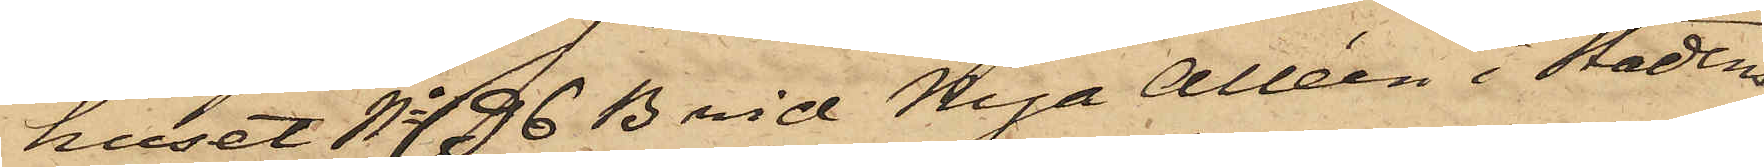huset No 96 B vid Nya Alléen i Stadens
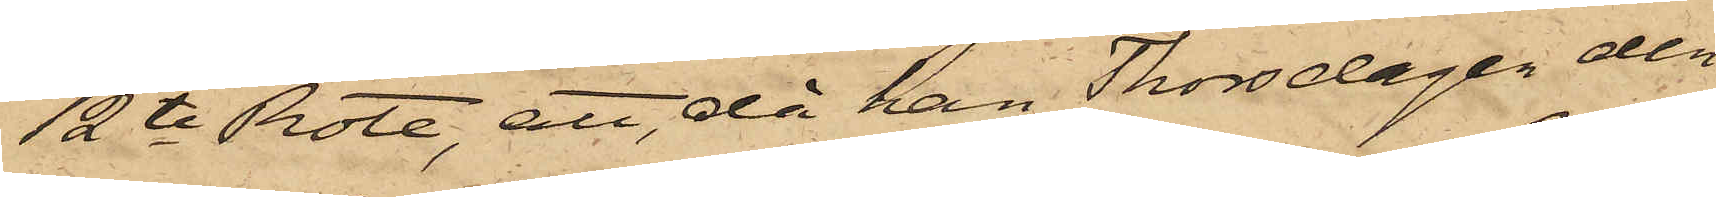12te Rote, att, då han Thorsdagen den
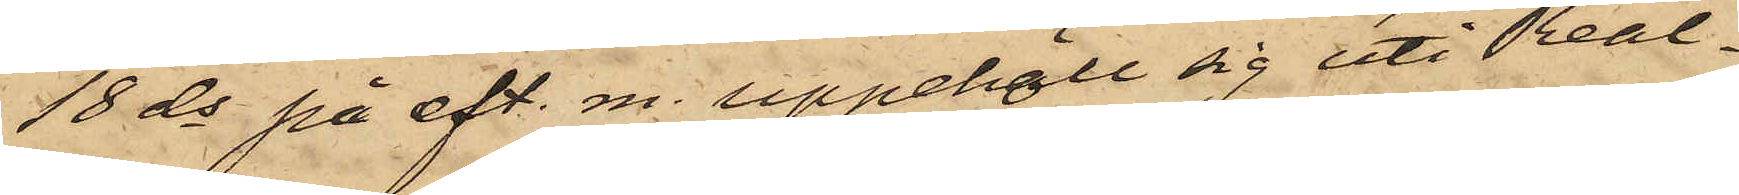18 ds på eft. m. uppehöll sig uti Real¬
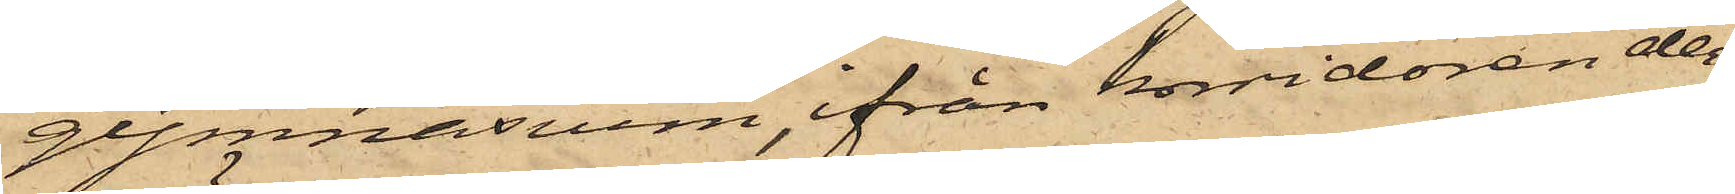gymnasium, ifrån korridoren der¬
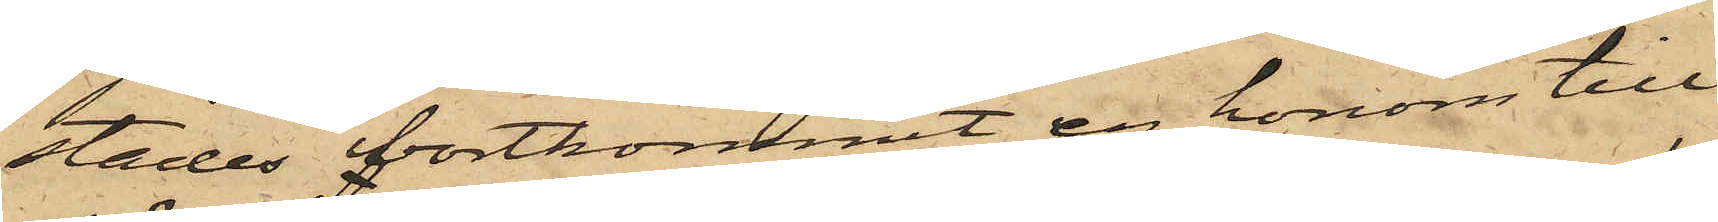städes bortkommit en honom till¬
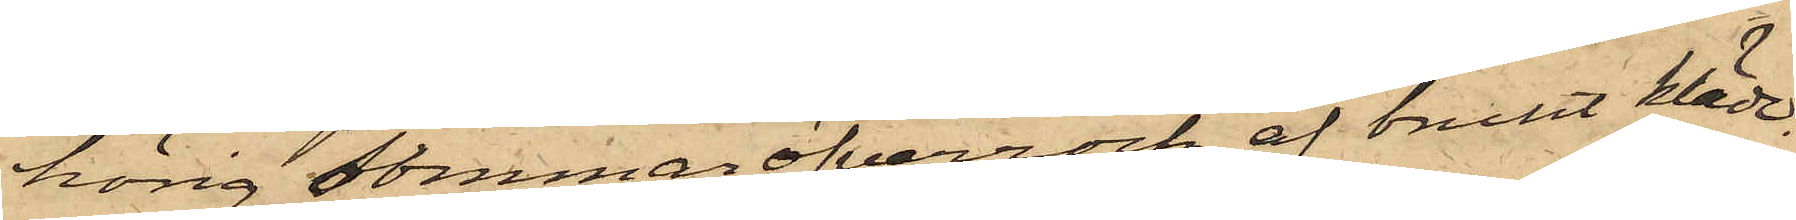hörig sommaröfverrock af brunt kläde.
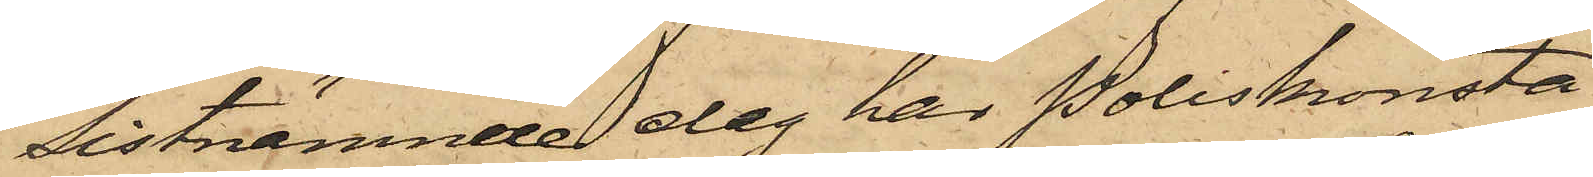Sistnämnde dag har Poliskonsta¬
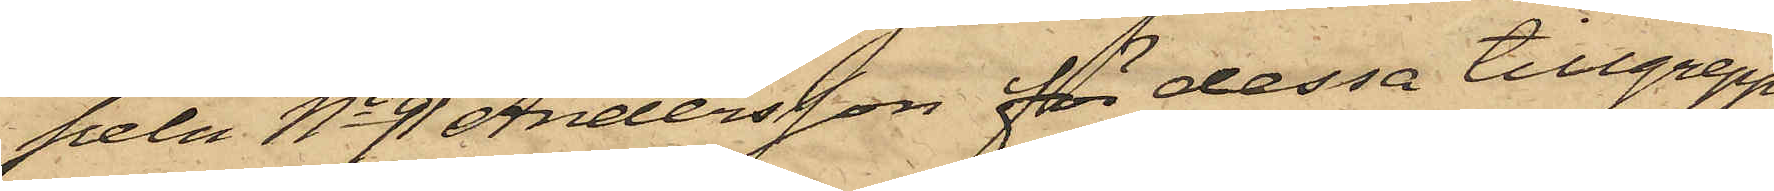peln No 91 Andersson för dessa tillgrepp
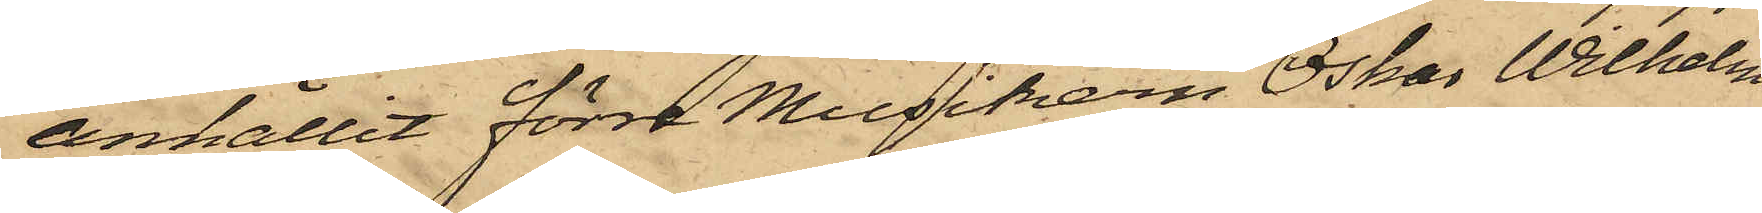anhållit förre Musikern Oskar Wilhelm
